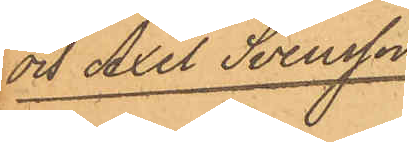och Axel Svensson.
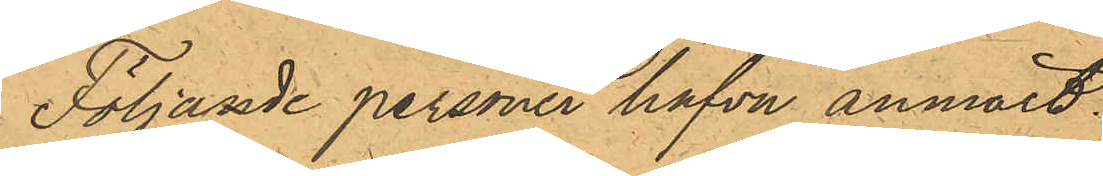Följande personer hafva anmält:
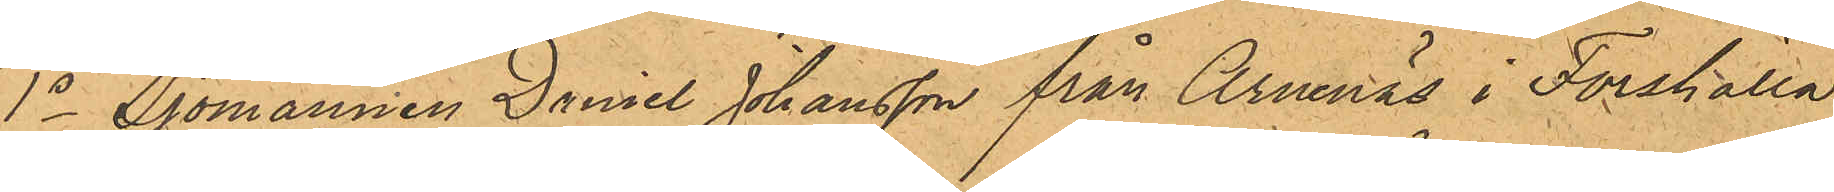1o Sjömannen Daniel Johansson från Arnenäs i Forshälla
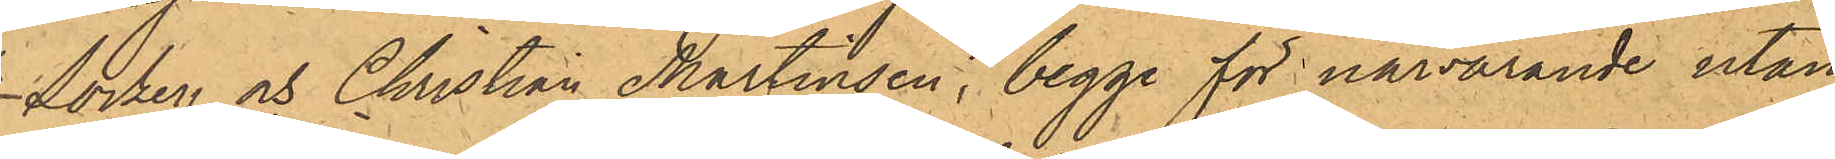Socken och Christian Martinsen, begge för närvarande utan
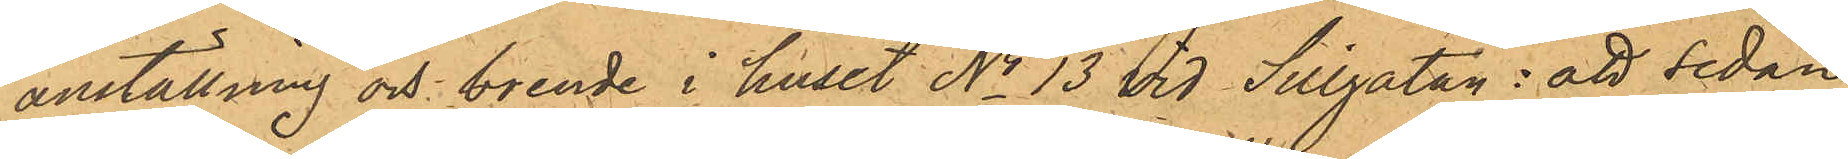anställning och boende i huset No 13 vid Sillgatan: att sedan
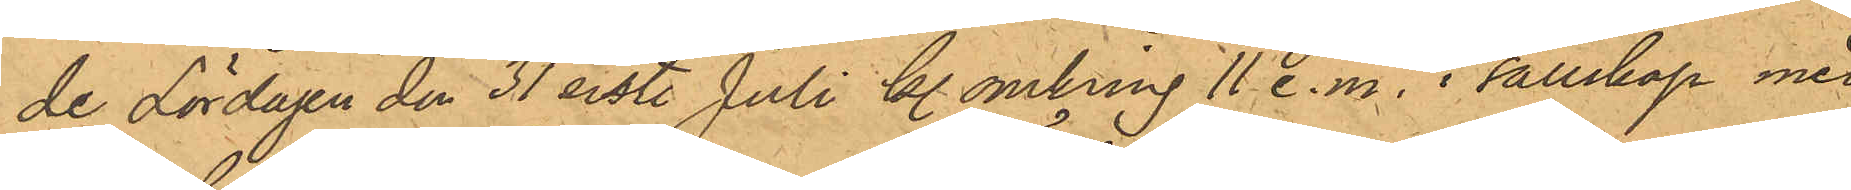de Lördagen den 31 sist. Juli kl. omkring 11 e.m. i sällskap med
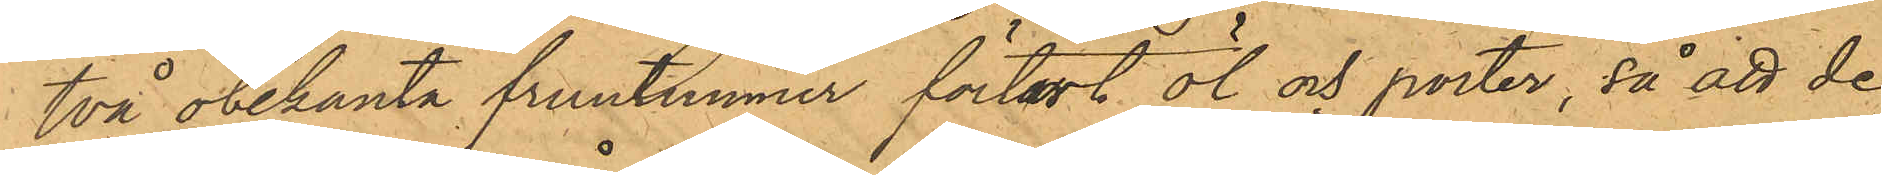två obekanta fruntimmer förtärt öl och porter, så att de
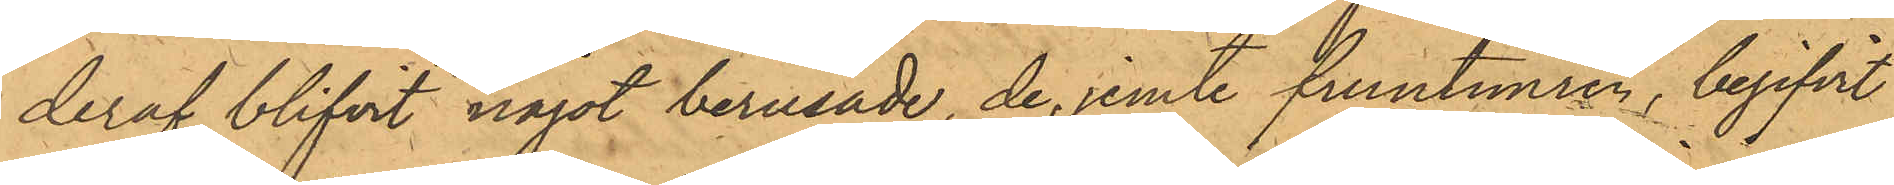deraf blifvit något berusade, de jemte fruntimren, begifvit
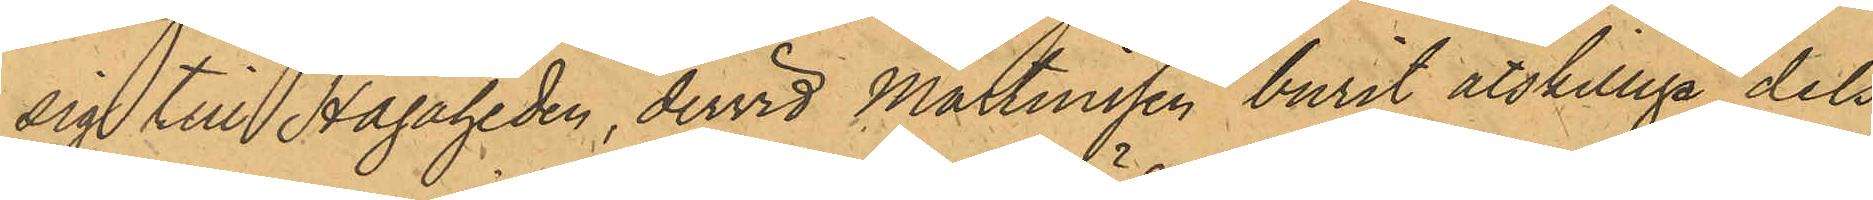sig till Hagaheden, dervid Martinssen burit åtskilliga dels
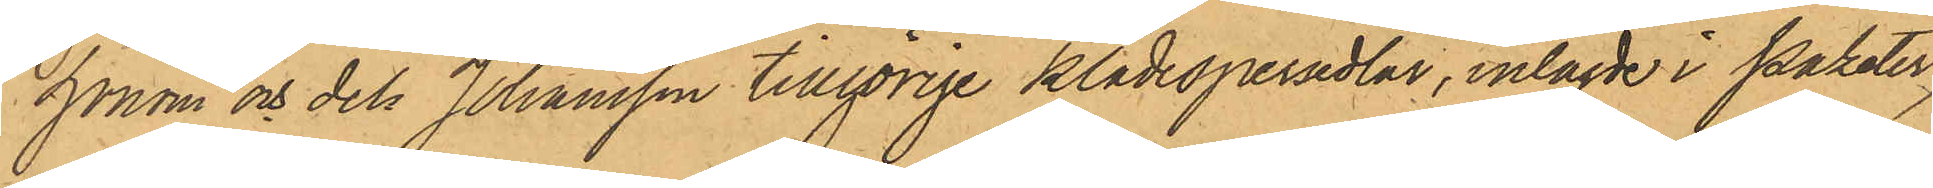honom och dels Johansson tillhörige klädespersedlar, inlagde i Paketer,
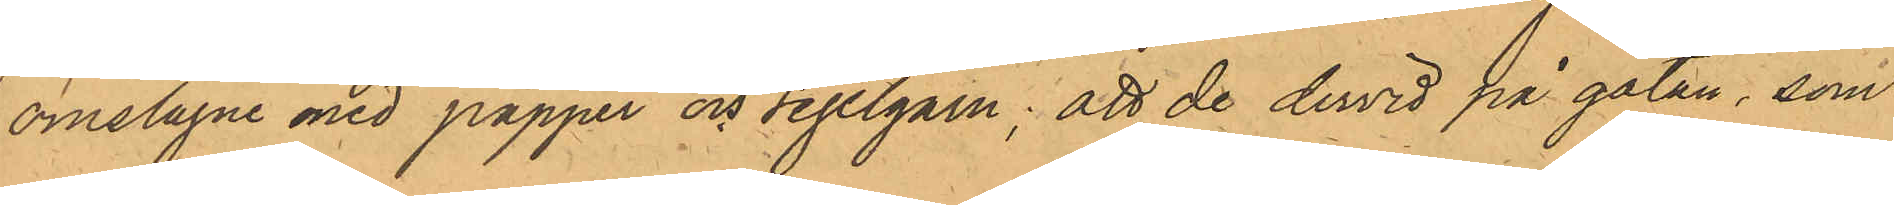omslagne med papper och segelgarn; att de dervid på gatan, som
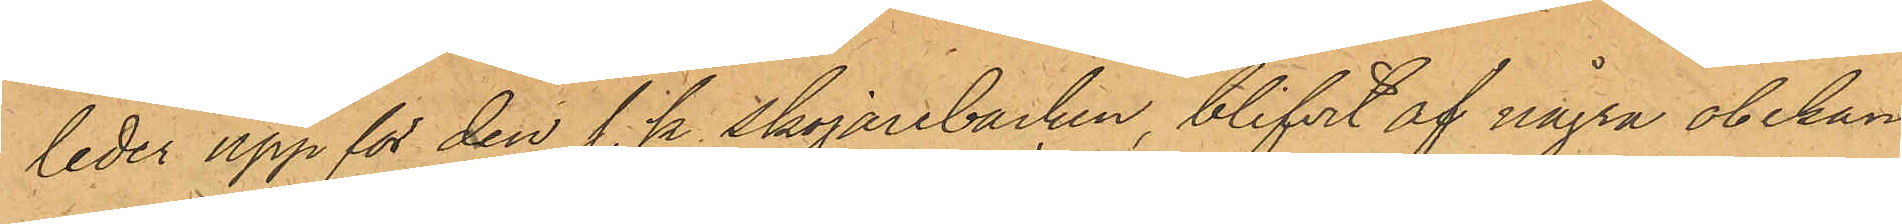leder upp för den s. k. Skojarebacken, blifvit af några obekan¬
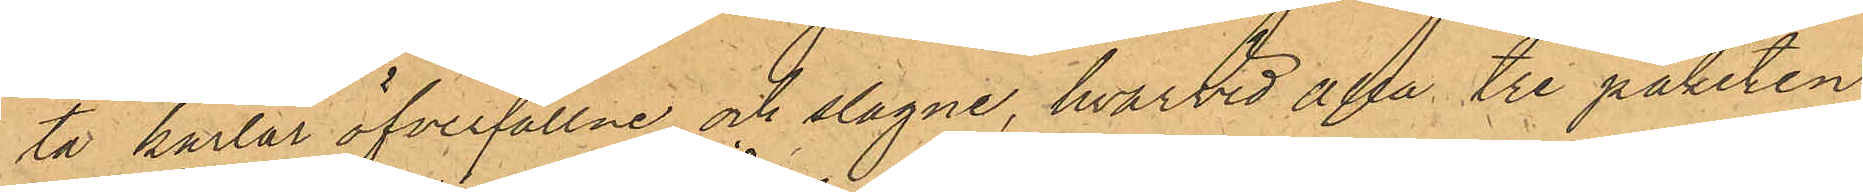ta karlar öfverfallne och slagne, hvarvid alla tre paketen
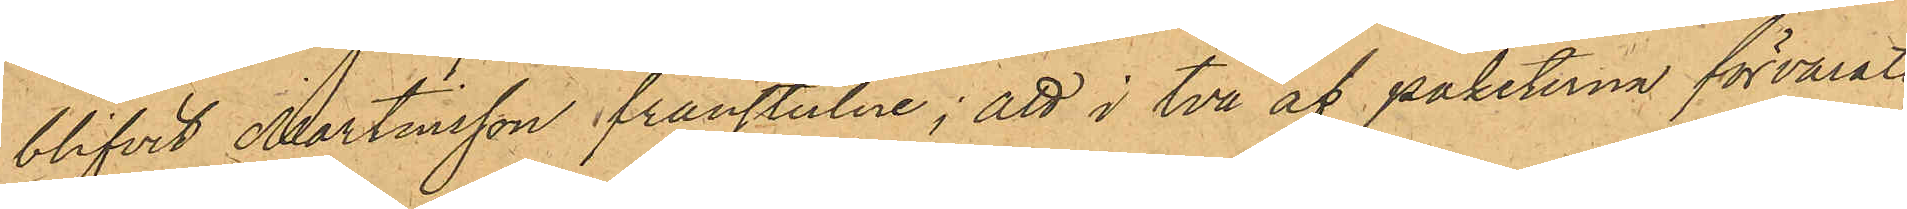blifvit Martensson frånstulne; att i två af paketerna förvarats
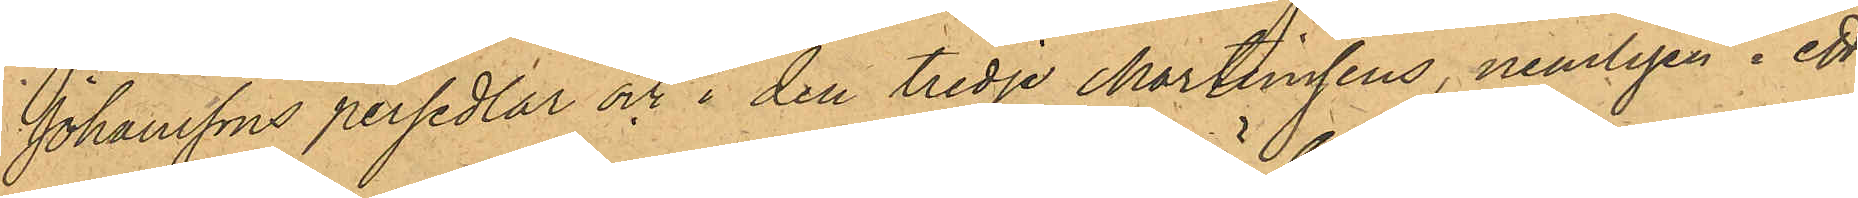Johanssons persedlar och i den tredje Martinsens, nemligen i ett
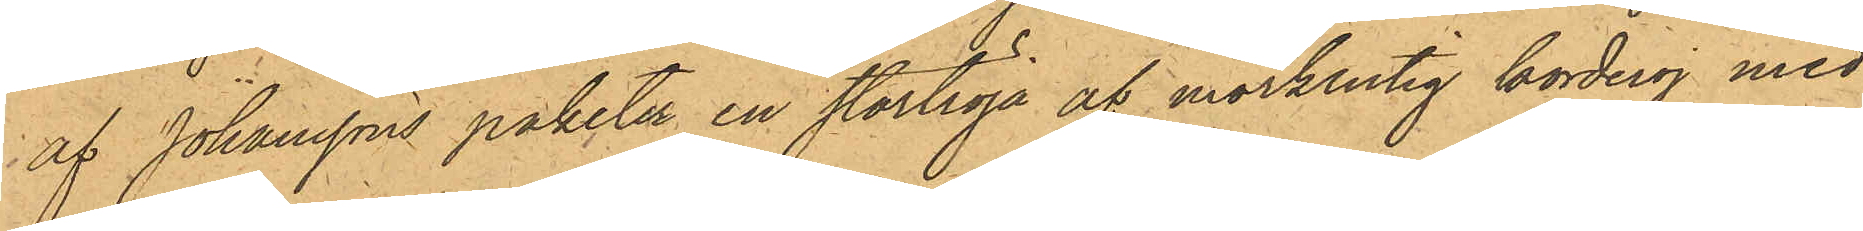af Johanssons paketer en stortröja af mörkrutig korderoj med
